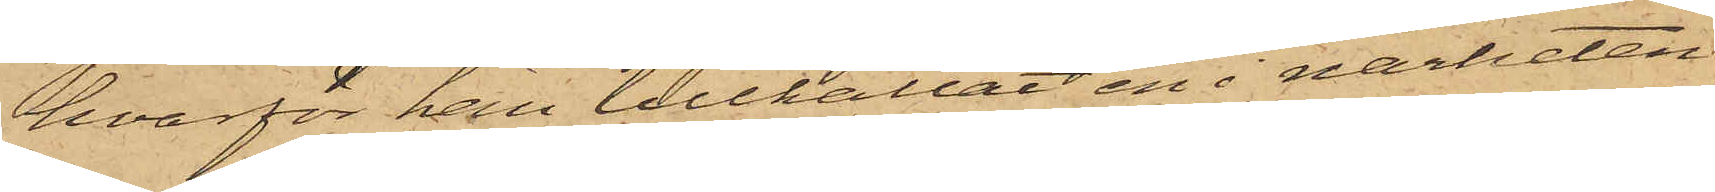hvarför han tillkallat en i närheten
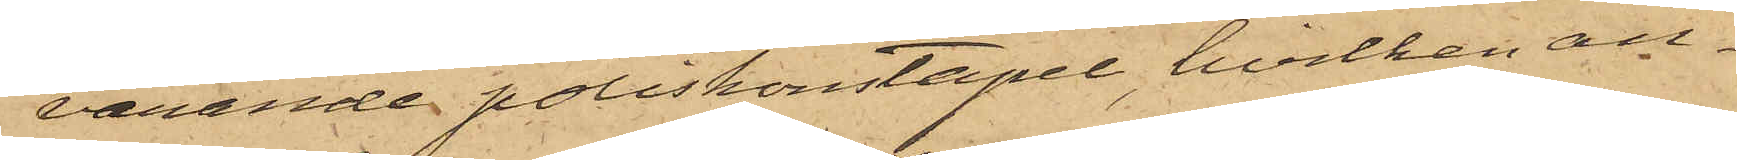varande poliskonstapel, hvilken an¬
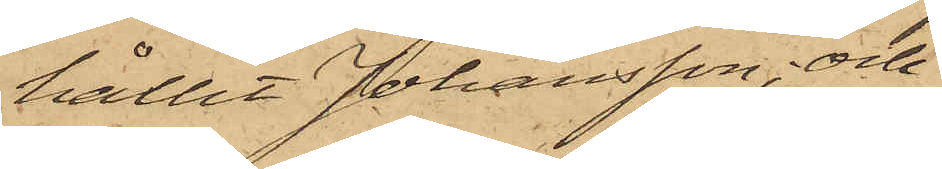hållit Johansson; och
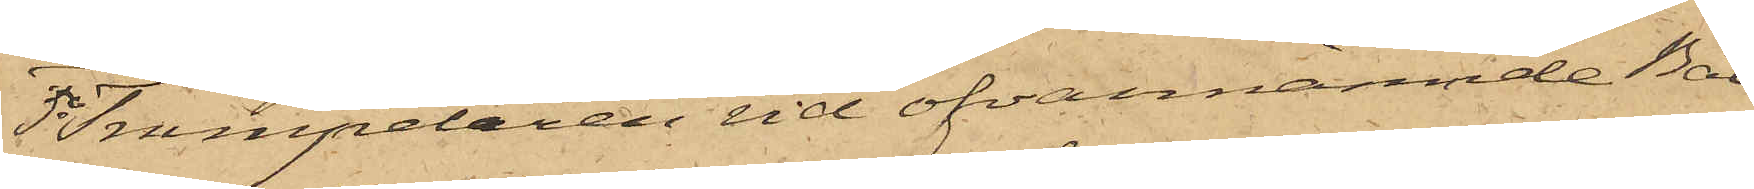5o Trumpetaren vid ofvannämnde Bat¬
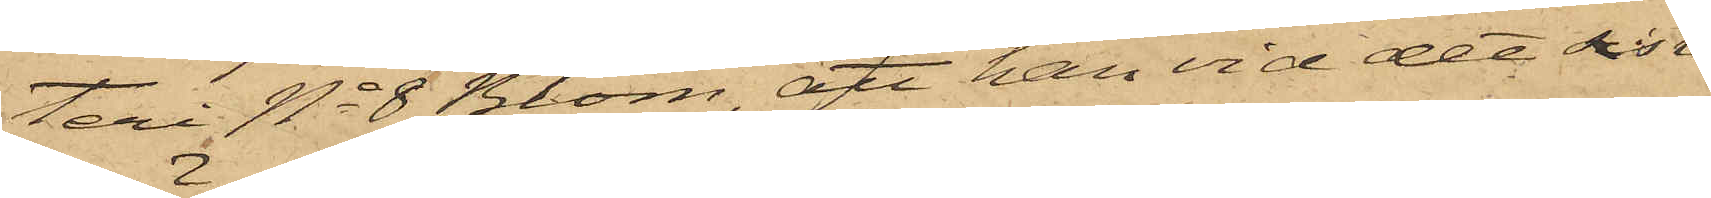teri No 8 Blom, att han vid det sist¬
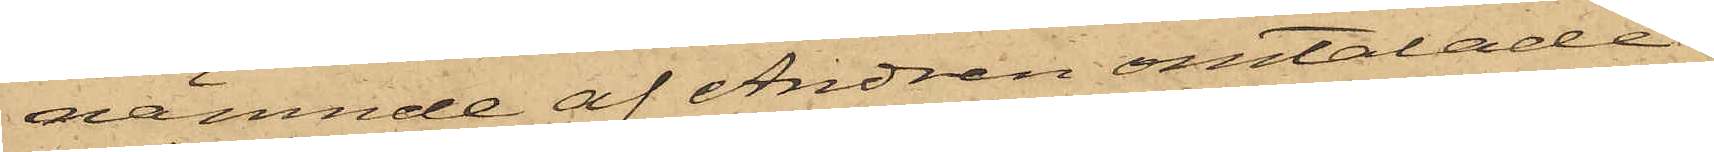nämnde af Andren omtalade
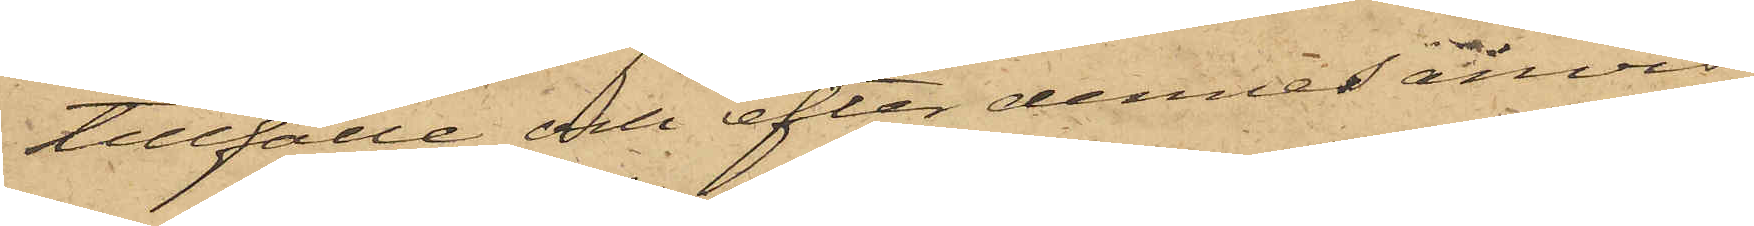tillfälle och efter dennes anvis¬
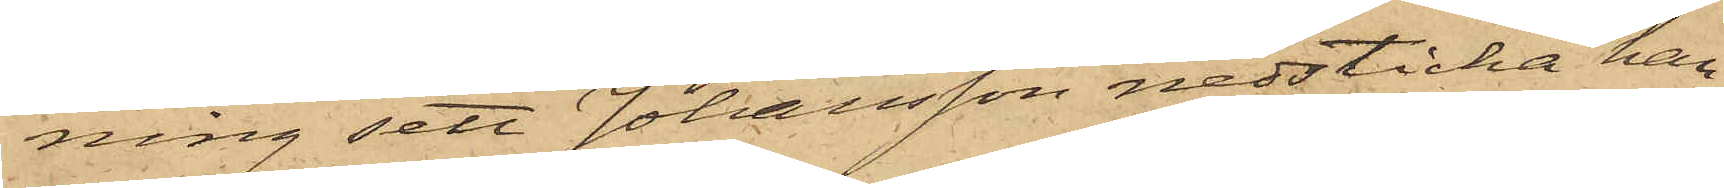ning sett Johansson nedsticka han¬
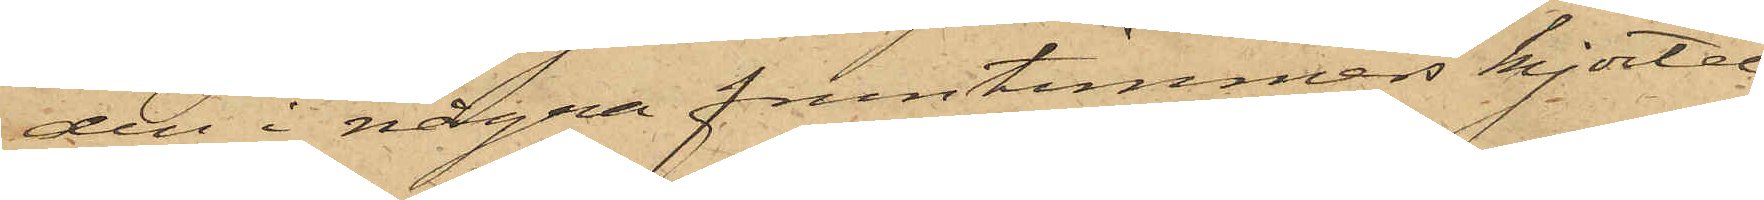den i några fruntimmers kjortel¬
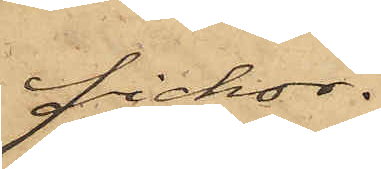fickor.
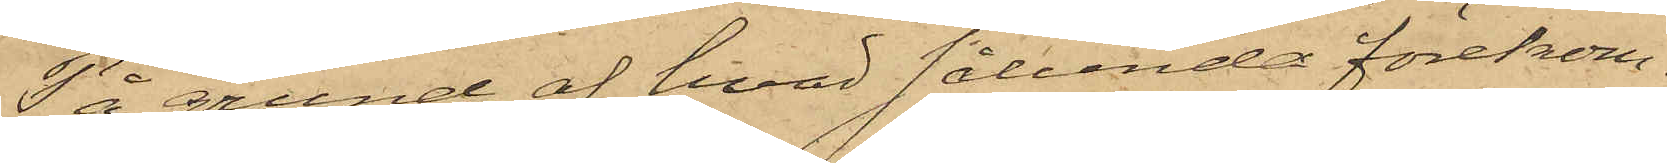På grund af hvad sålunda förekom¬
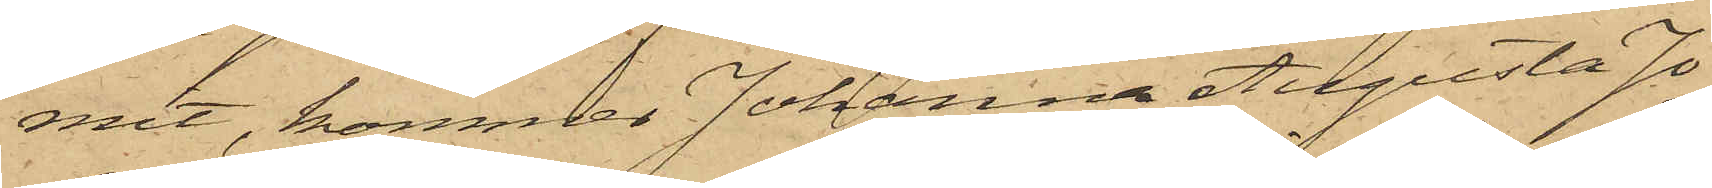mit, kommer Johanna Augusta Jo¬
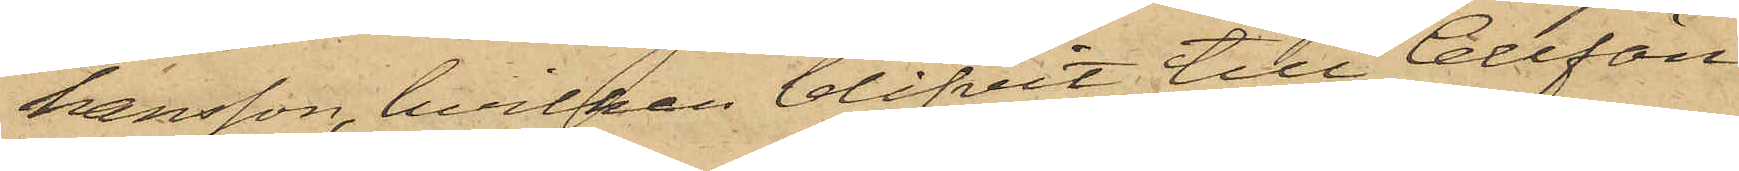hansson, hvilken blifvit till Cellfän¬
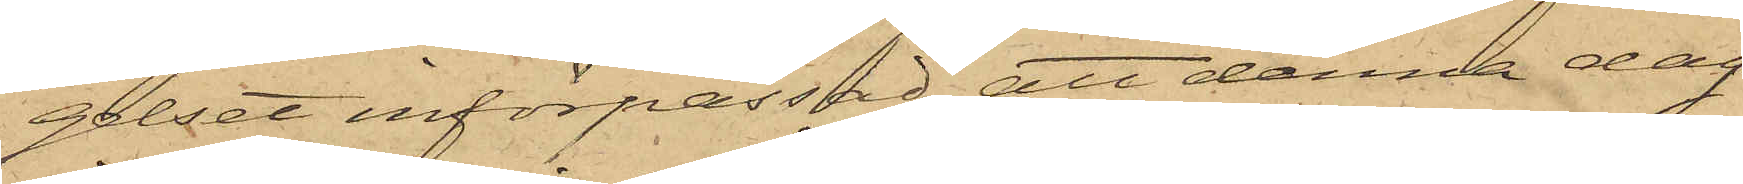gelset införpassad, att denna dag
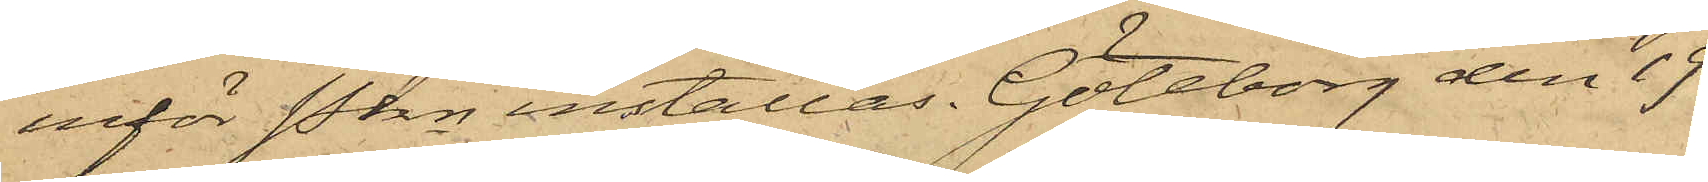inför Pkn inställas. Göteborg den 19
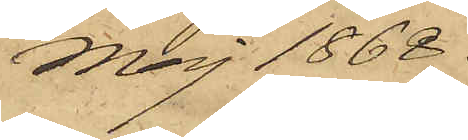Maj 1868.
